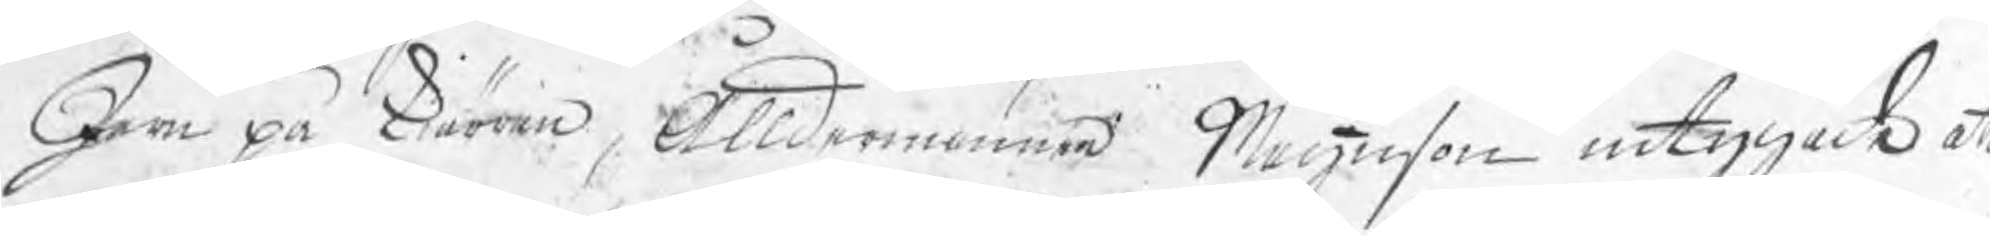Jern på kärran, Ålldermannen Magnuson intygade att
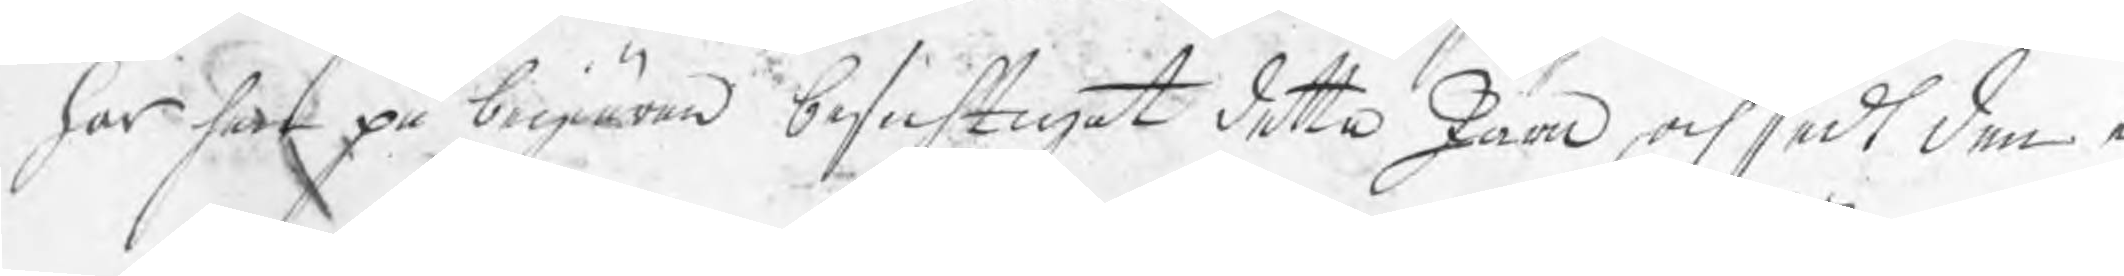har han på begiäran besichtigat detta Järn, och sedt den e¬
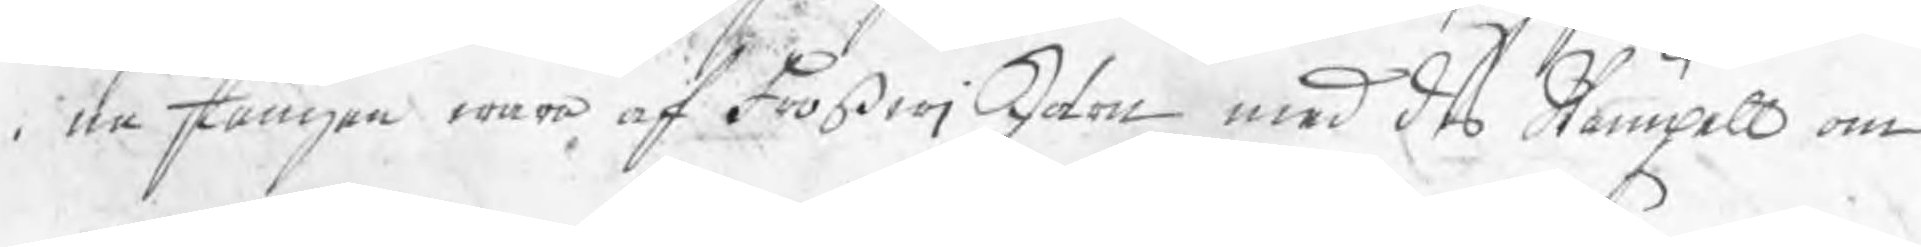na stången wara af FroßwjJärn med des Stämpell om
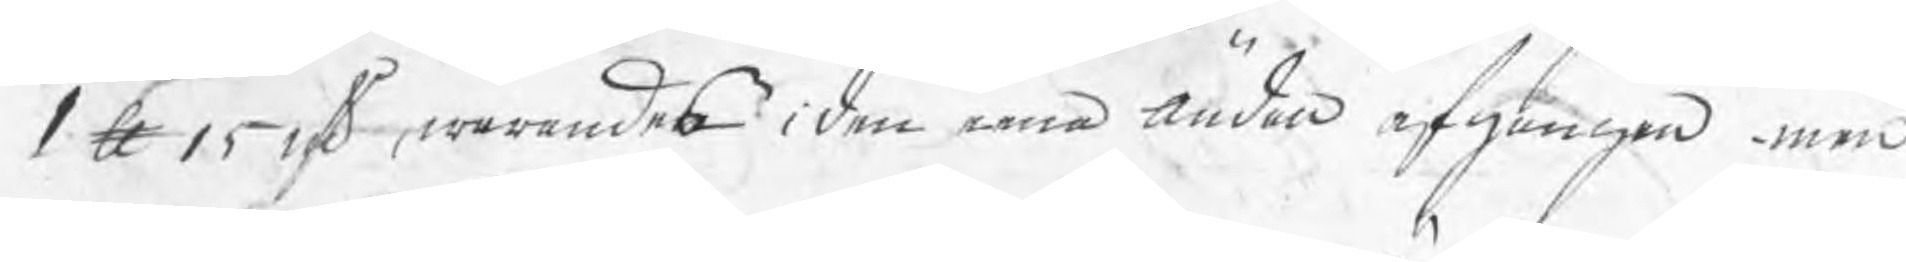1 ℔ 15 nsk, warandes i den eena ändan afgången, men
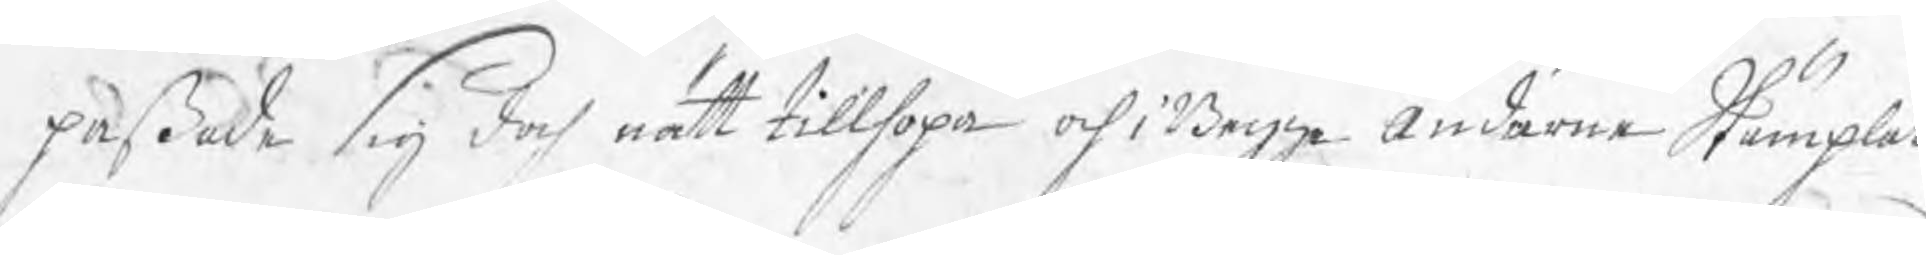paßade sig doch nätt tillhopa och i Begge ändarne Stämplat
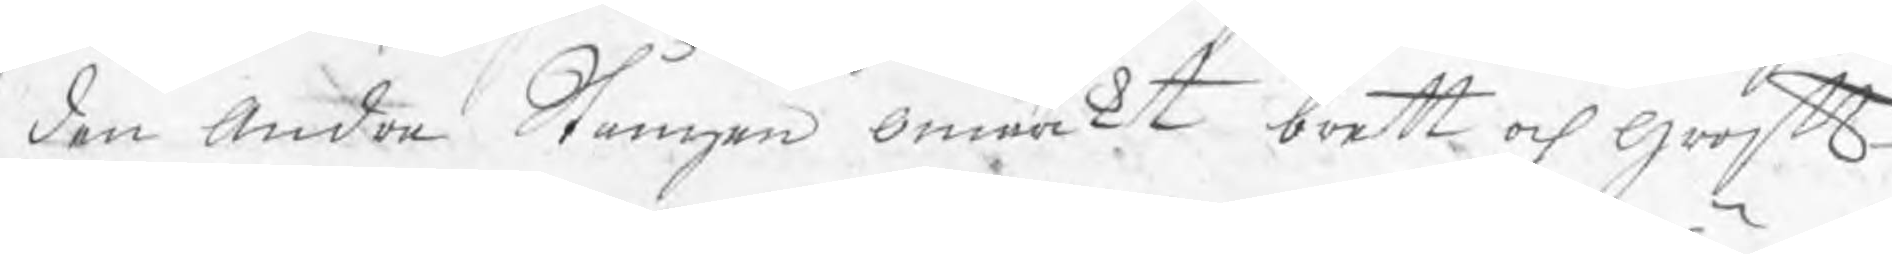den andra Stången omärkt brett och groft
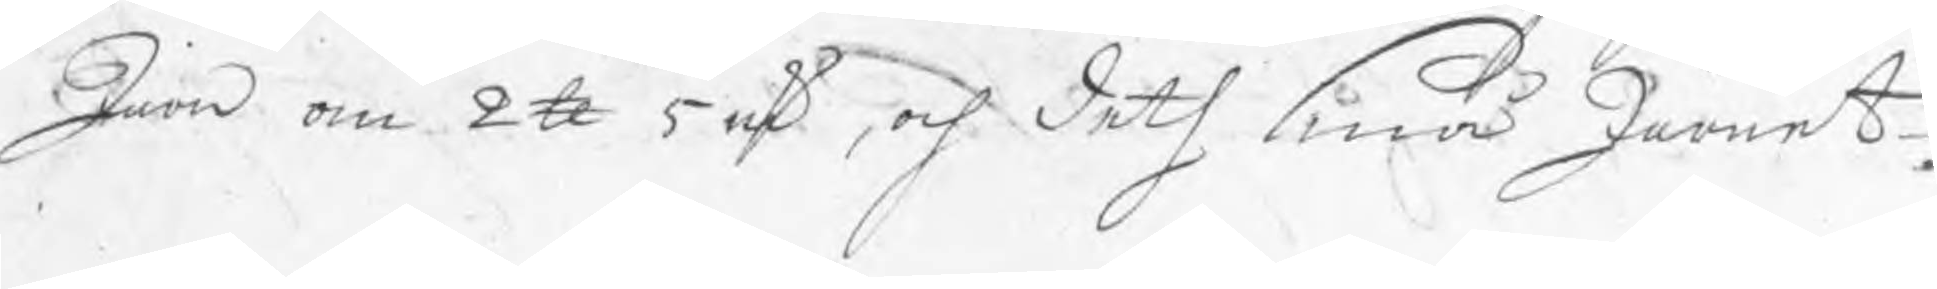järn om 2 ℔ 5 nsk, och deth små Järnet.
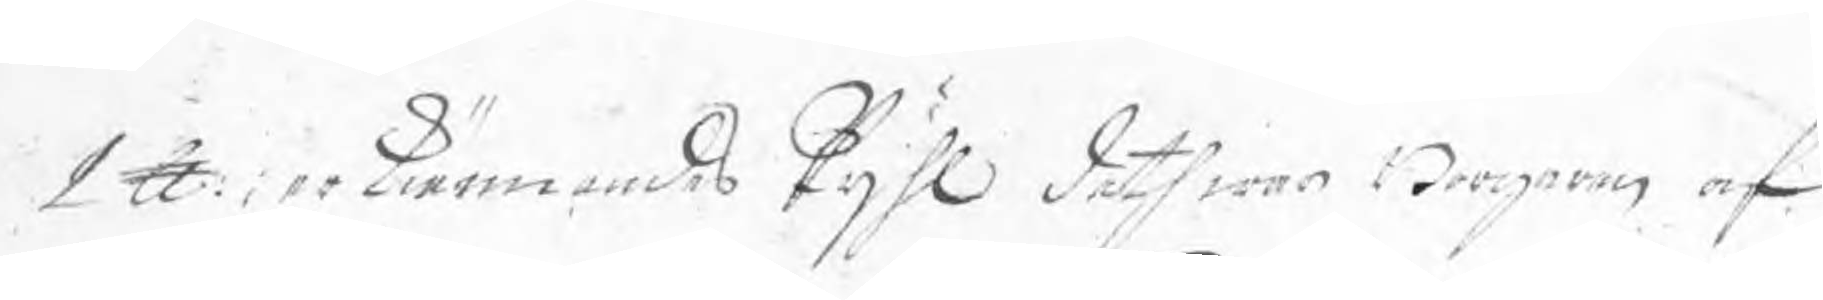1 ℔; erkiännandes Pijhl deth war Borgaren af
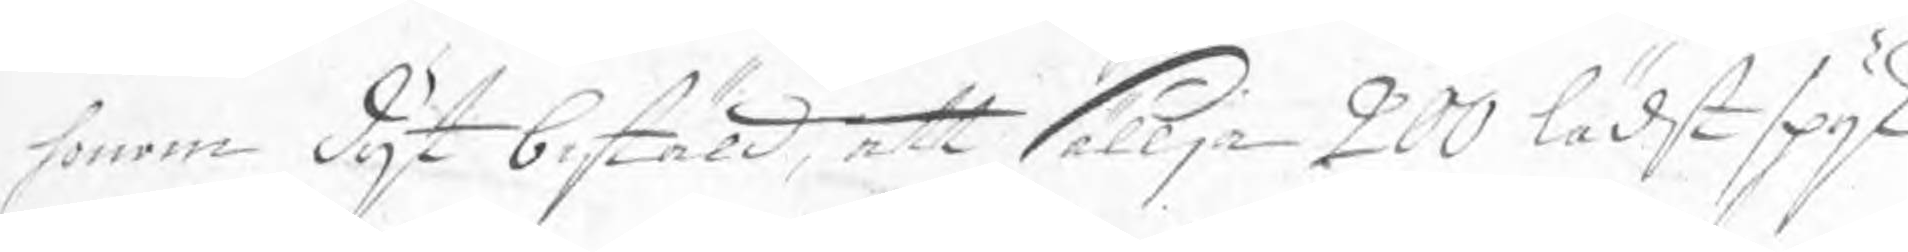honom dijt bestäld, att sällja 200 lädst spijk
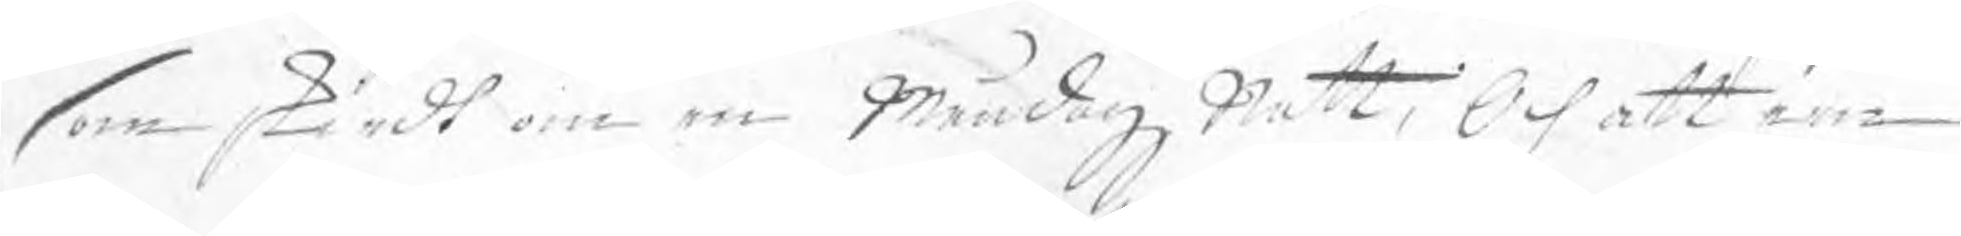som skiedt om en Måndagz Natt, Och att een
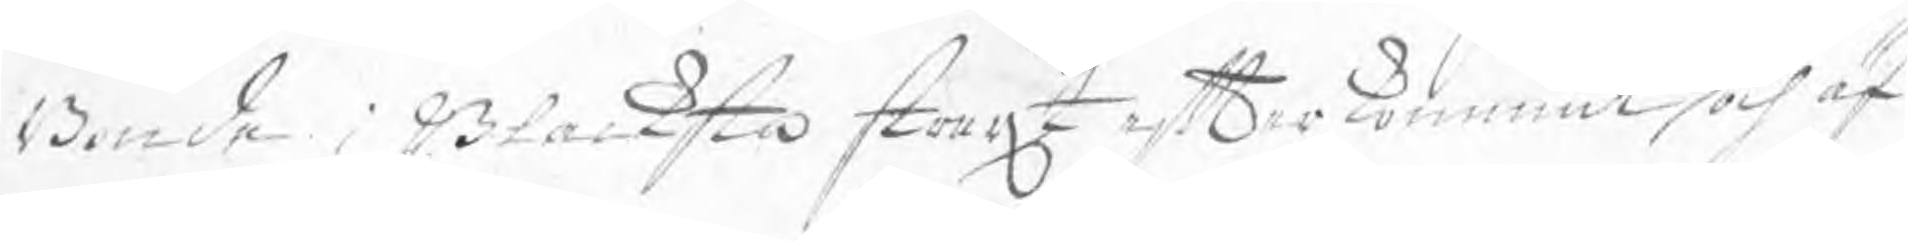Bonde i Blacksta straxt efter kommit och äf¬
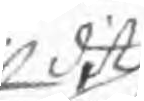dit
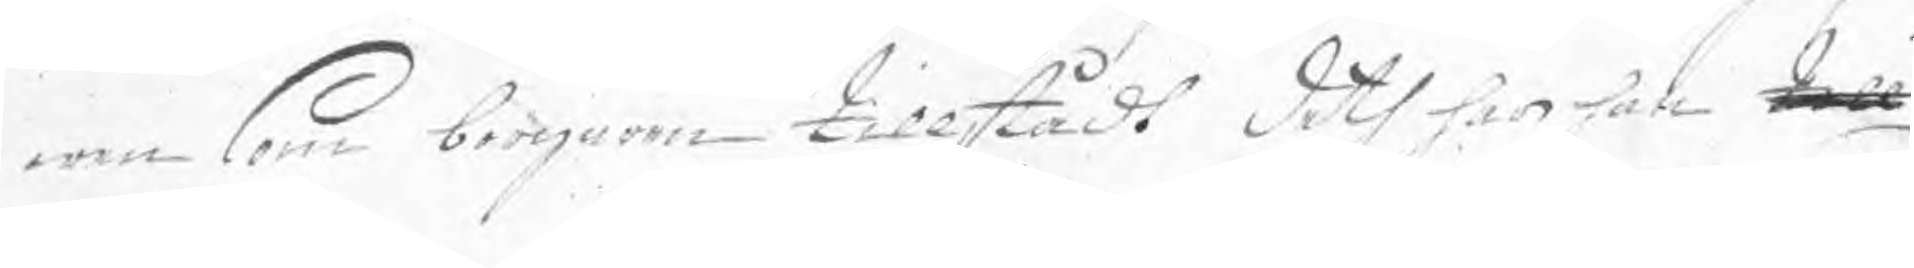wen som borgaren tillstådt deth har han till
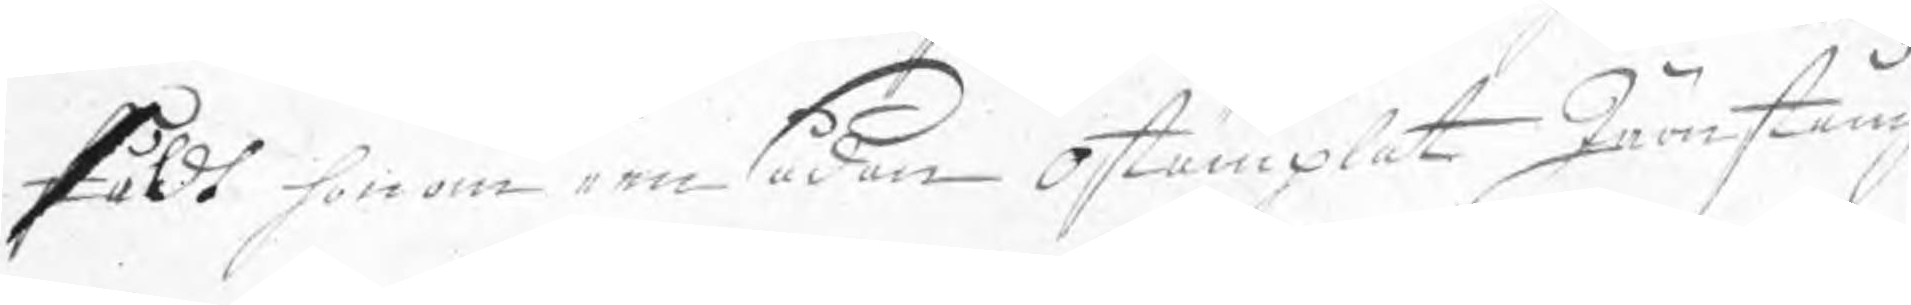såldt honom een sådan ostämplat Järnstång
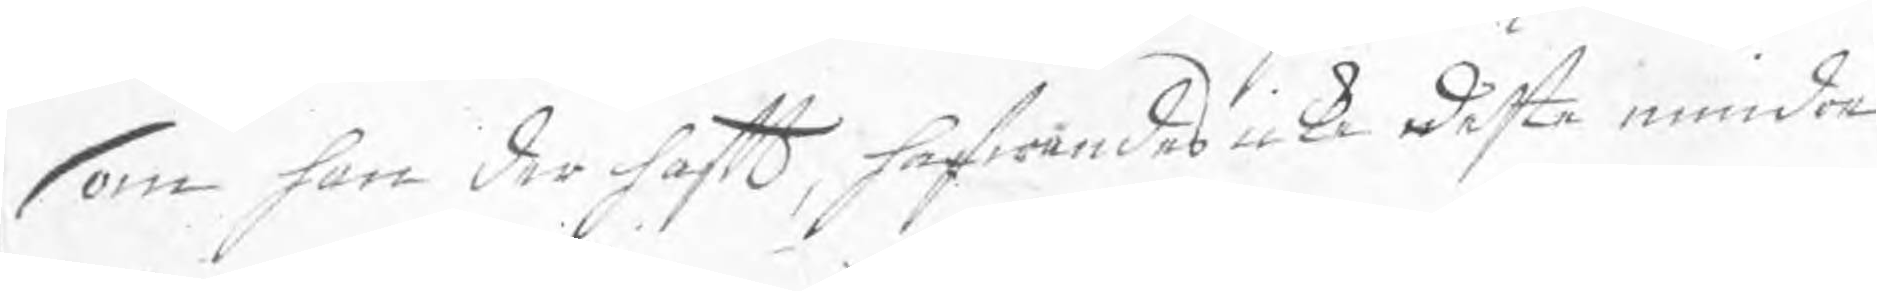som han der haft, hafwandes icke dästo mindre
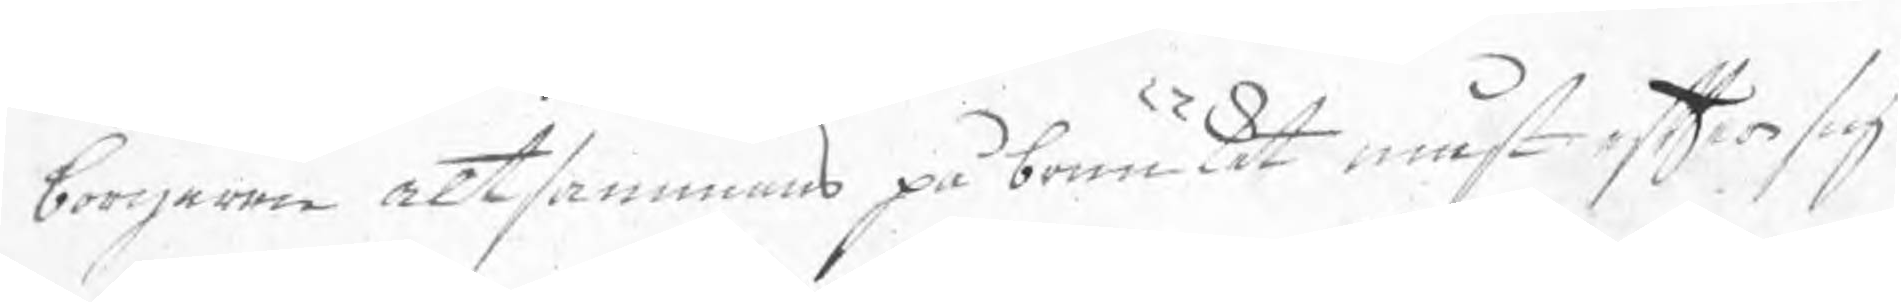borgaren altsammans påbruuket måst efter sig
